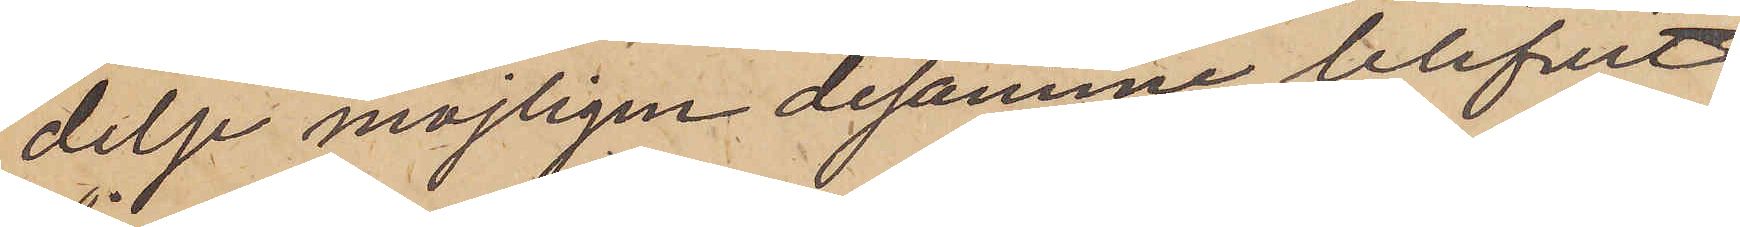delse möjligen desamma blifvit
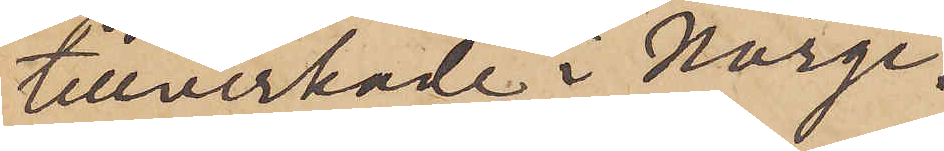tillverkade i Norge.
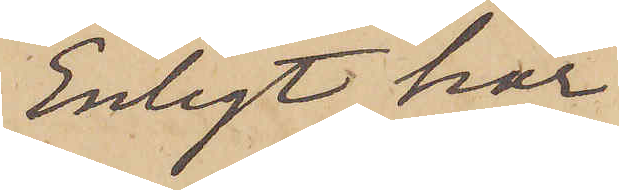Enligt här
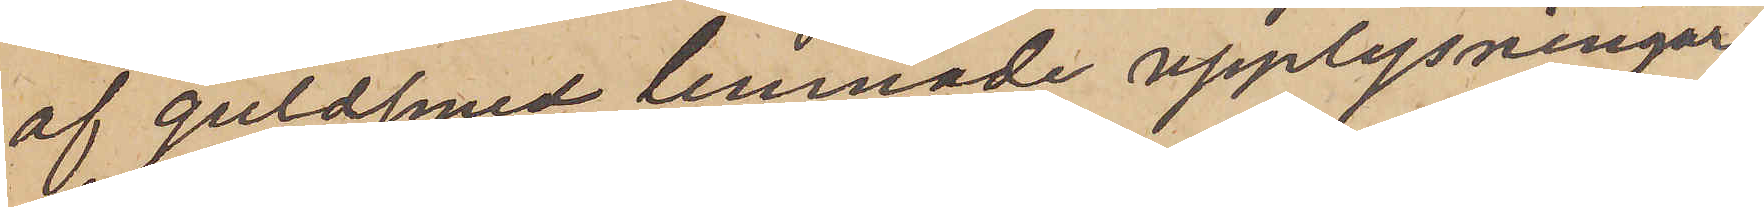af guldsmed lemnade upplysningar
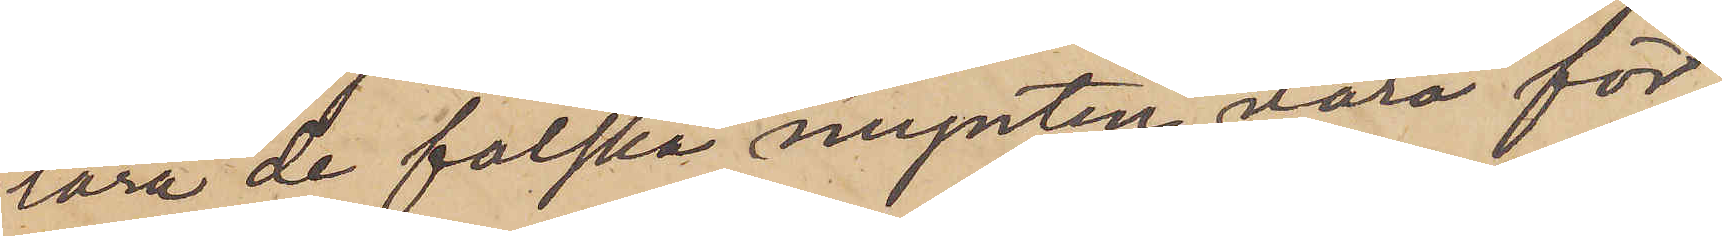lära de falska mynten vara för¬
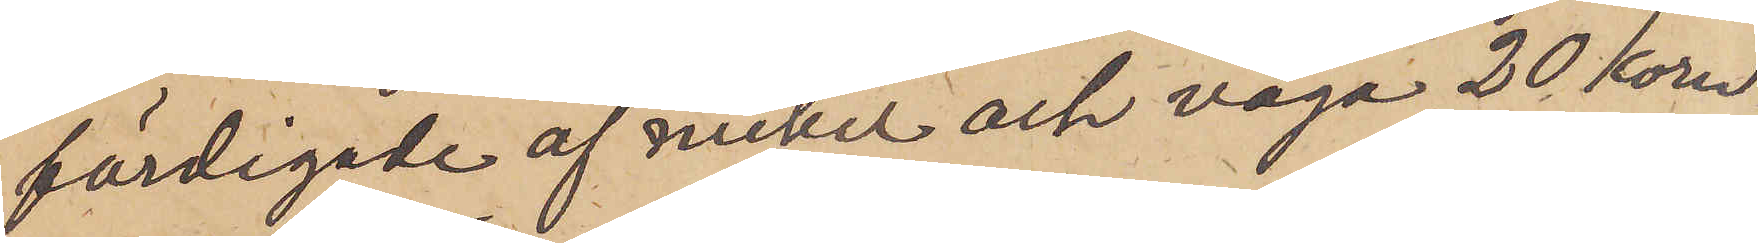färdigade af nickel och väga 20 korn
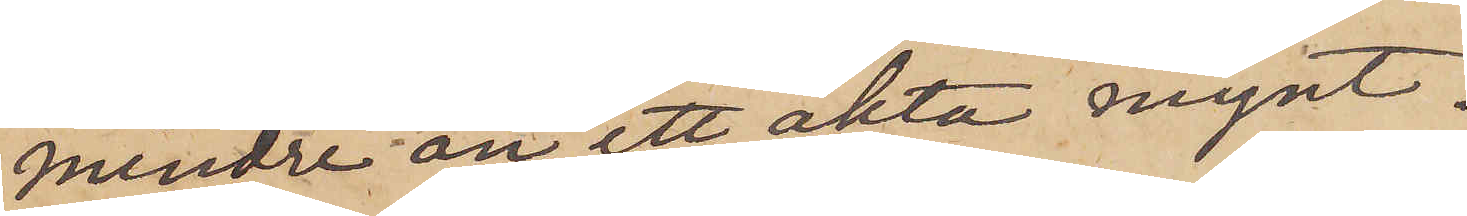mindre än ett äkta mynt.
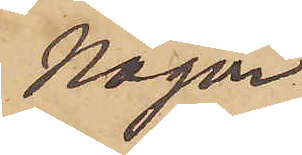Någon
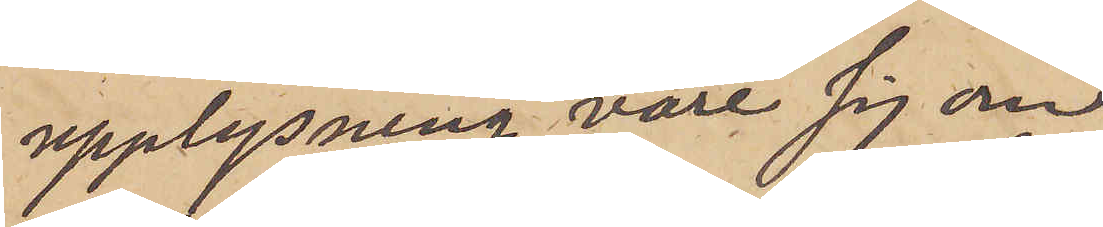upplysning vare sig om
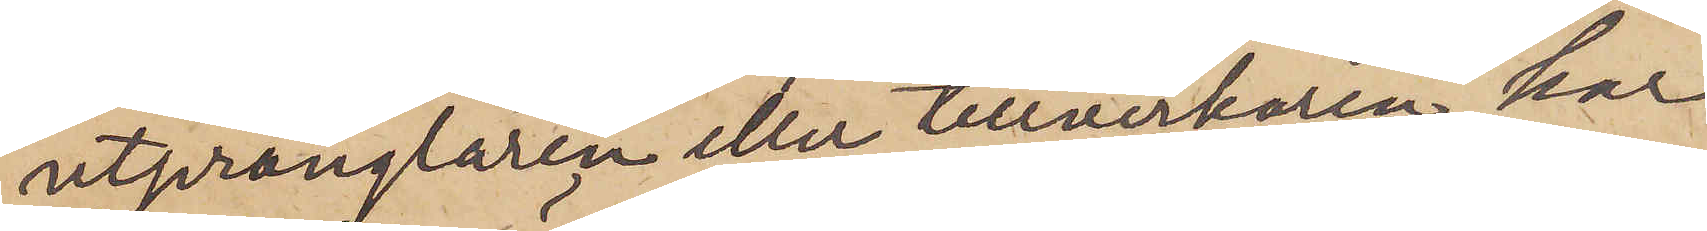utprånglaren eller tillverkaren har
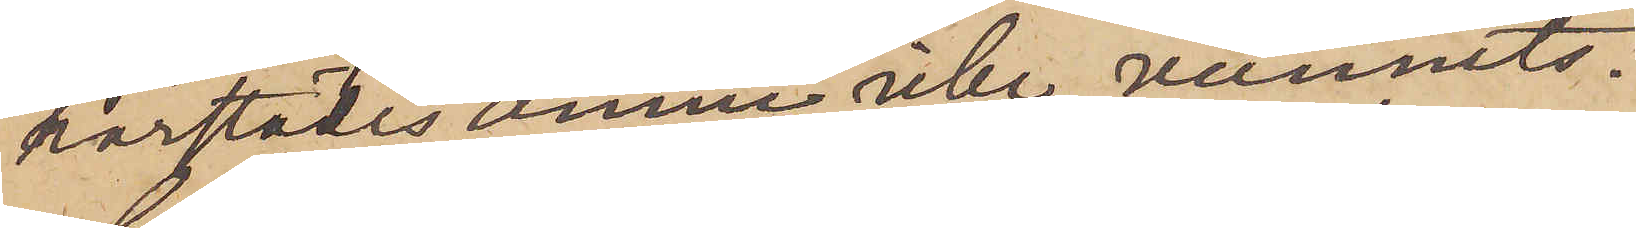härstädes ännu icke vunnits.
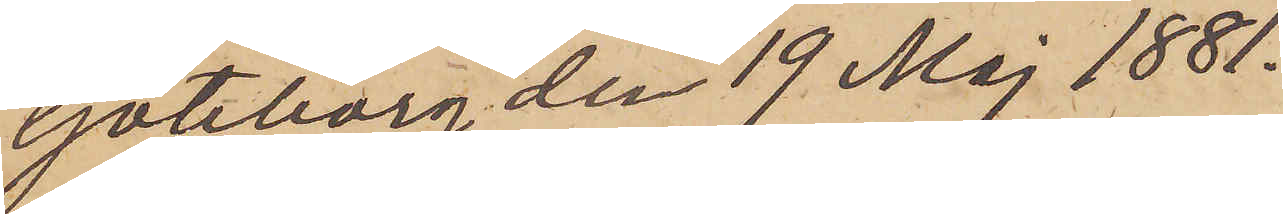Göteborg den 19 Maj 1881.
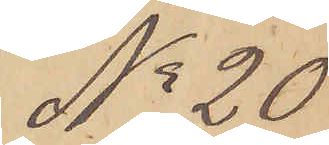No 20
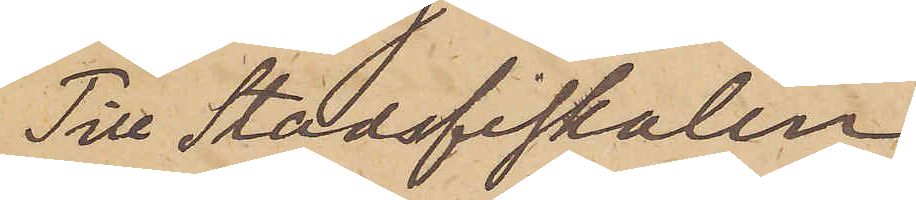Till Stadsfiskalen
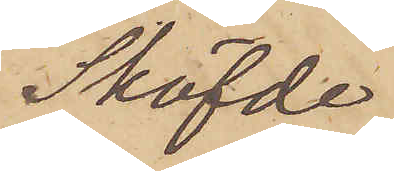Sköfde
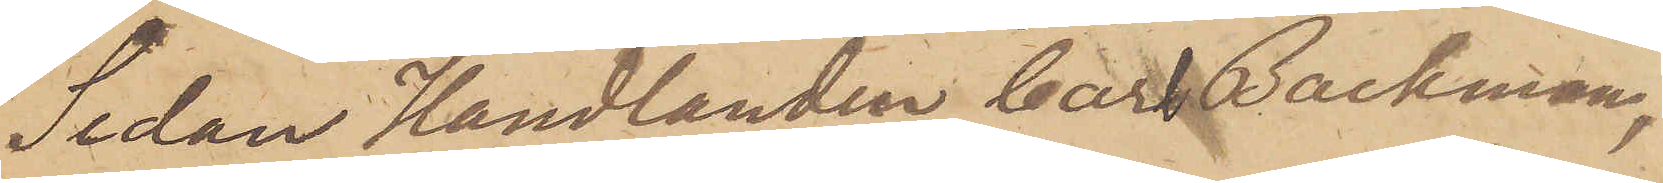Sedan Handlanden Carl Backman,
